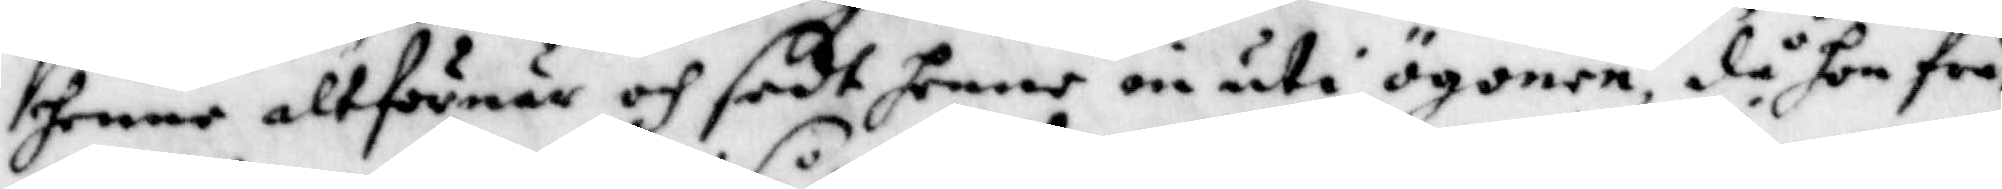henne altförnär och sedt henne in uti ögonen, då hon frå¬
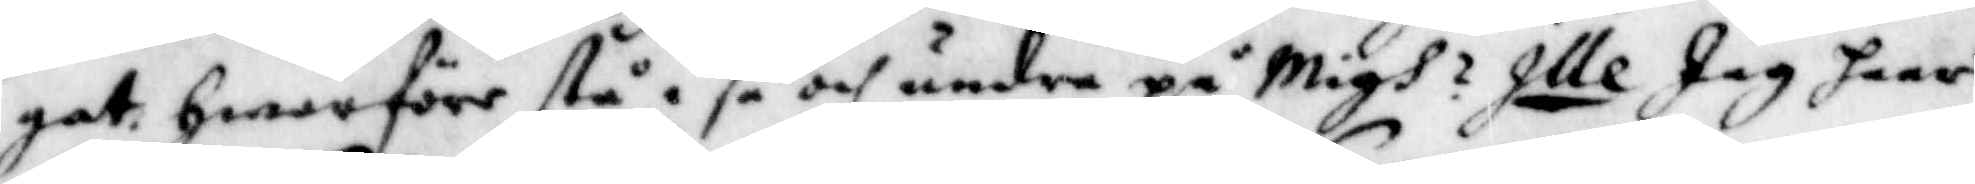gat hwarföre stå i så och undra på Migh? Ille Jag haar
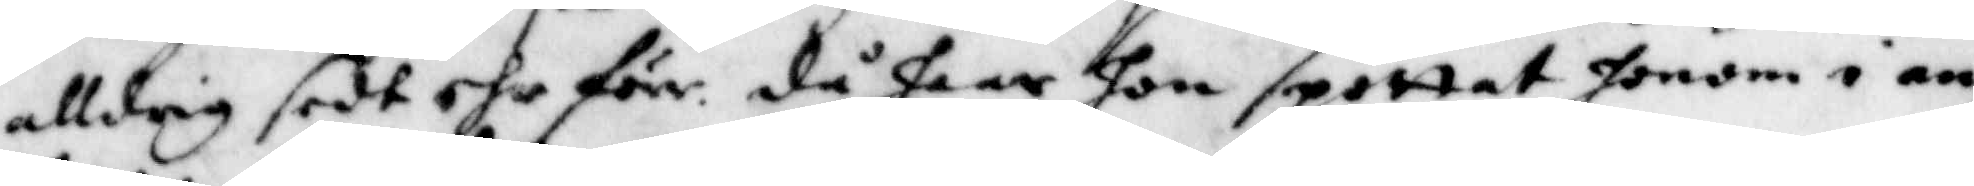alldrig sedt ehr förr. då haar hon spottat honom i an¬
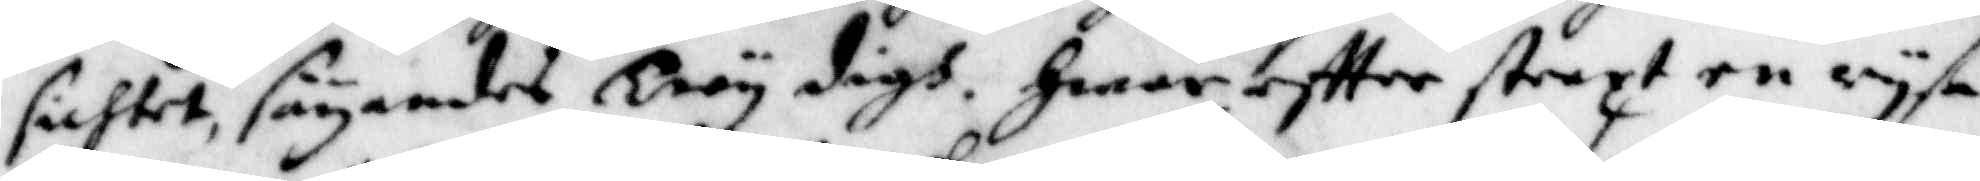sichtet, säyandes Troy digh. Hwareftter straxt en ryse
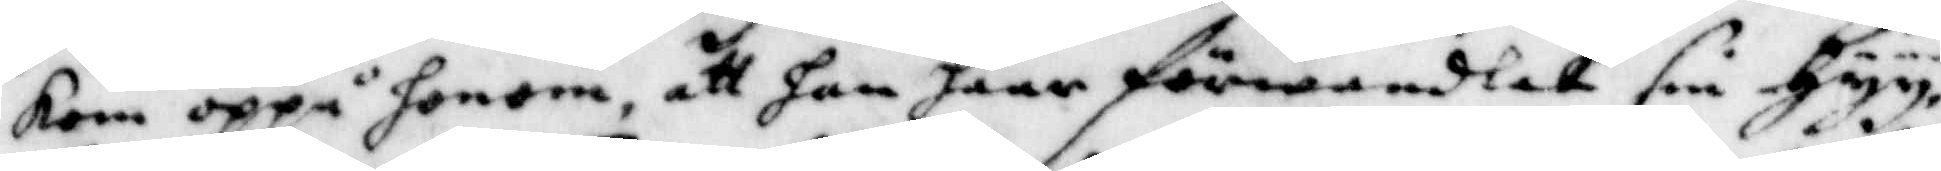kom oppå honom, att han haar förwandlat sin Hyy,
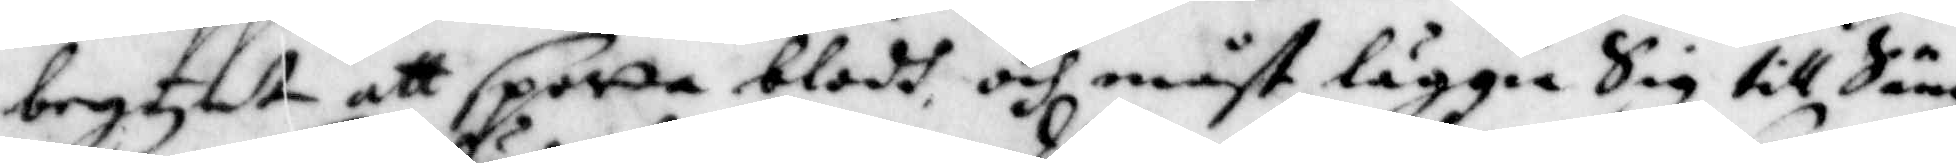begynte att spotta blodh, och måst läggia Sig till Sängz
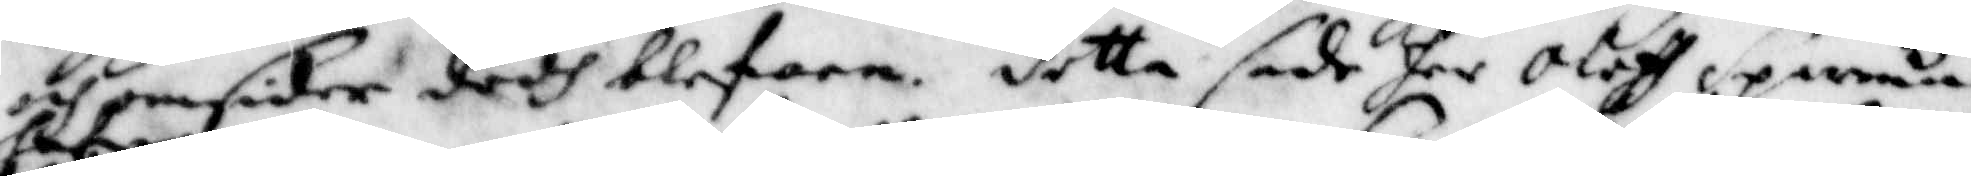och omsider dödh blefwen. detta sade her Oloff Sparman
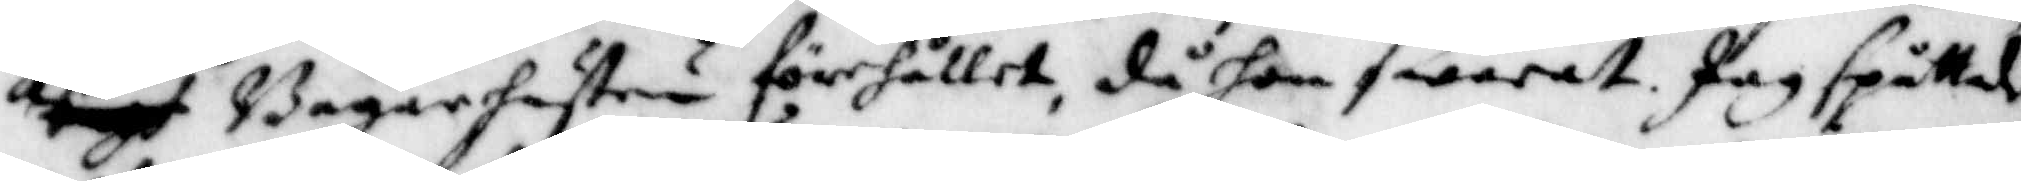hafwa Bagarehustrun förehållet, då hon swarat, jag spottade
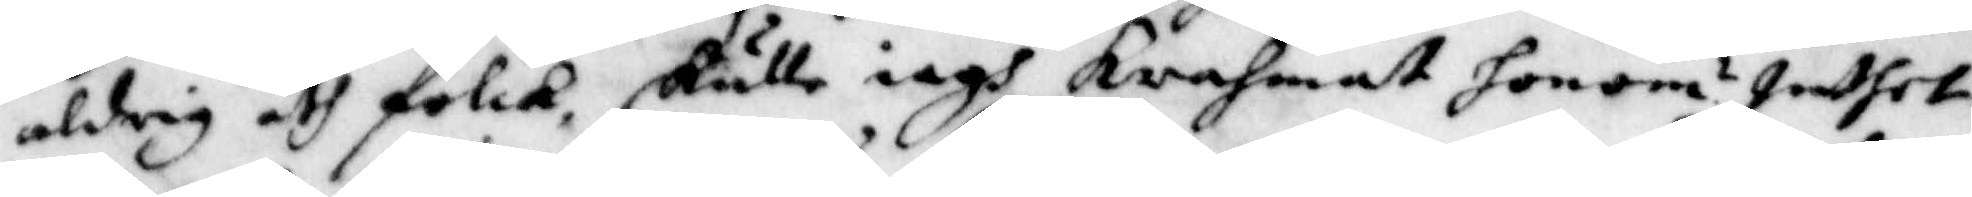aldrig åth folck, skulle iagh krahmat honom? Inthet
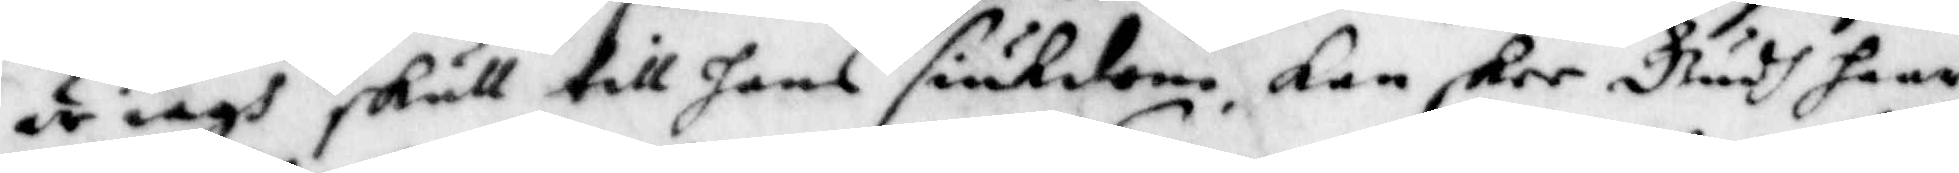är iagh skull till hans siukdom, kan skee Gudh haar
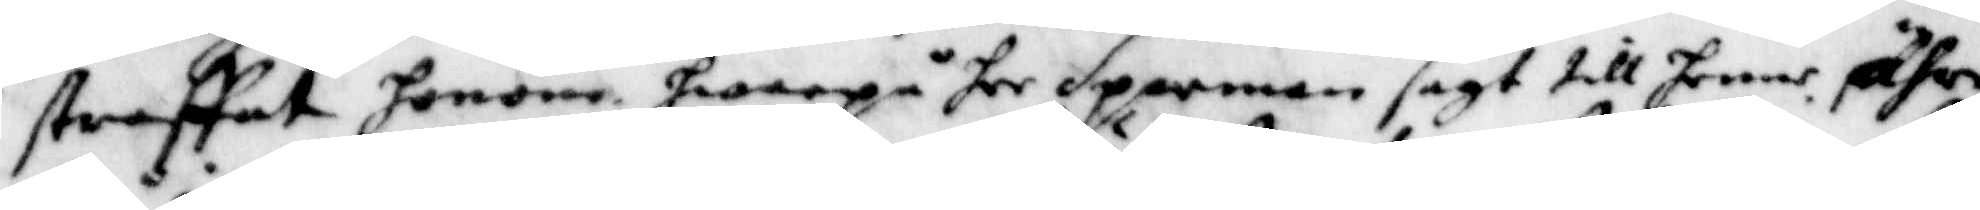straffat honom, hwarpå her Sparman sgat till henne ähre
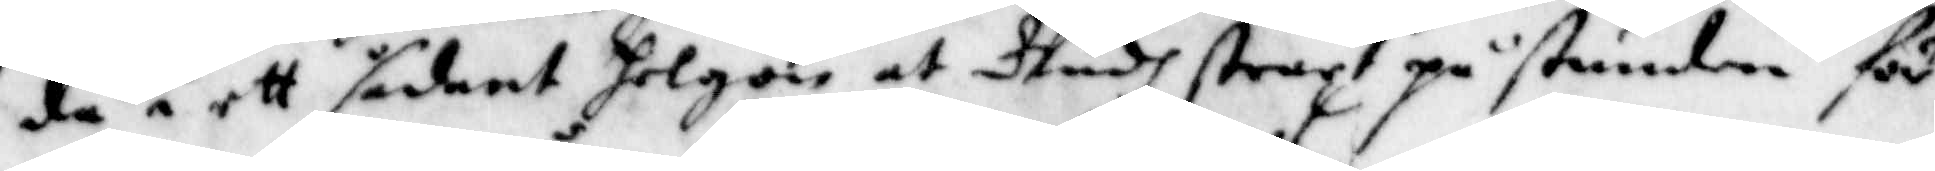då i ett sådant helgon at Gudh straxt på stunden för
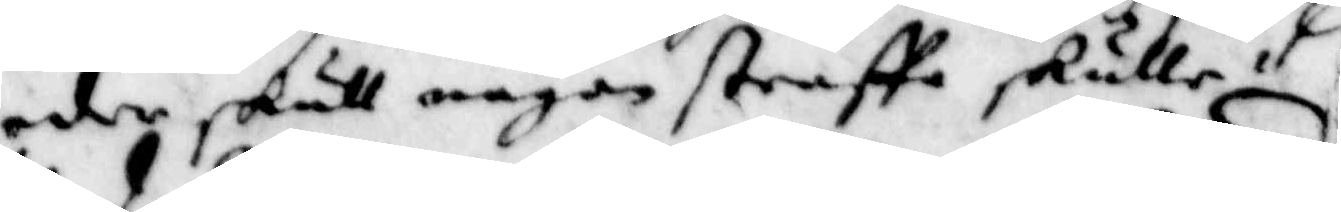eder skull någon straffa skulle.
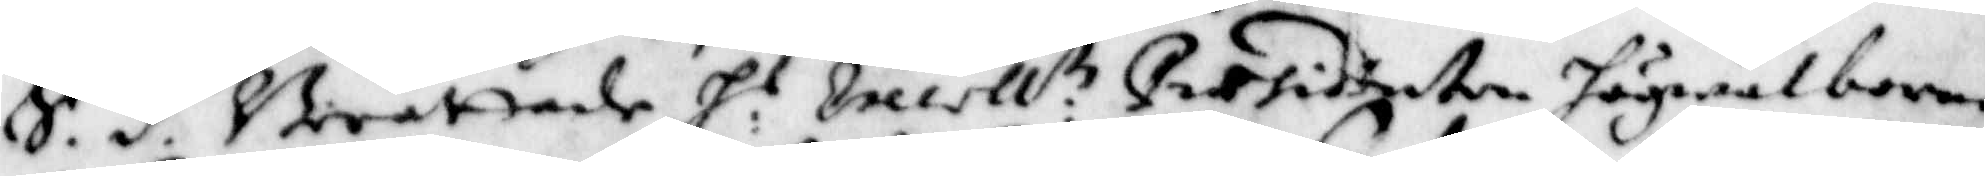S.d. Berättade H:r Excell:tz Præsidenten högwälborne
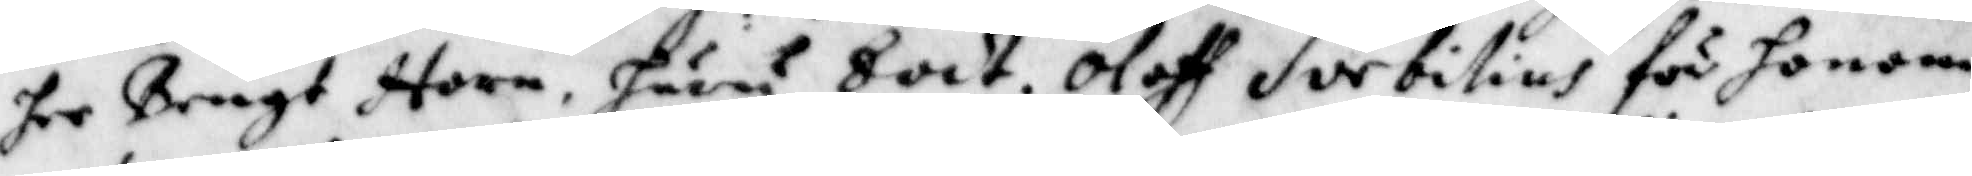her Bengt Horn huru Eodt. Oloff Sorbilius för honom
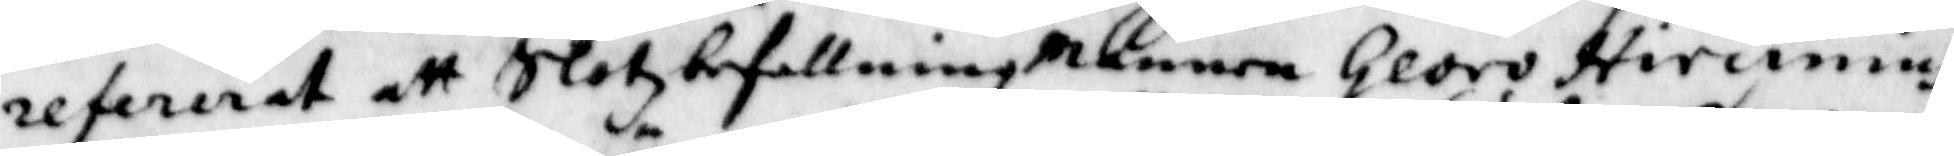refererat att Slotzbefallningmannen Georg Hircinius
